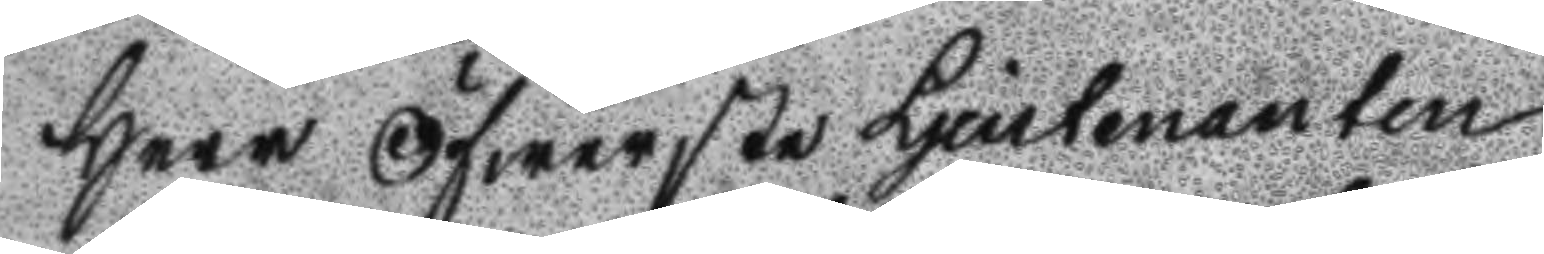Herr Öfwerste Ljeutenanten
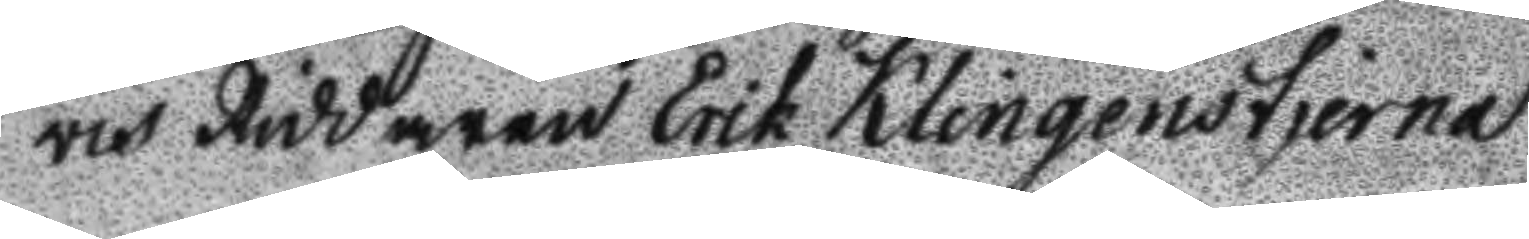och Riddaren Erik Klingen stherna
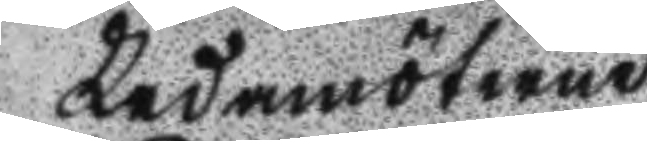Ledamöterne
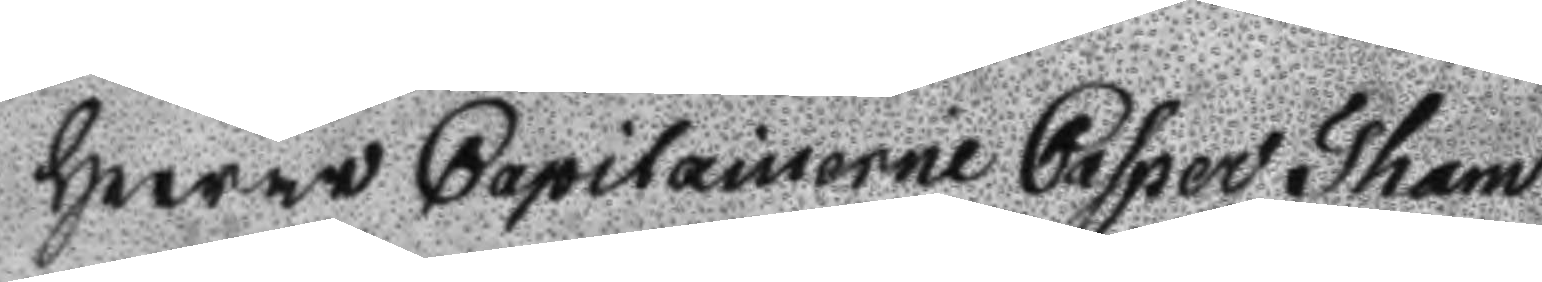Herrar Capitainerne Casper Tham
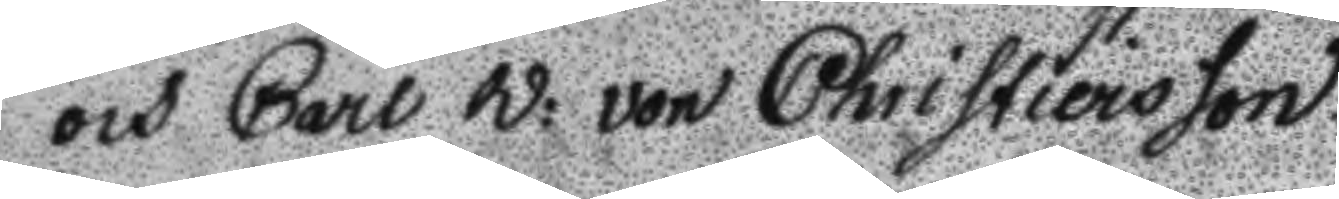och Carl W: von Christiersson.
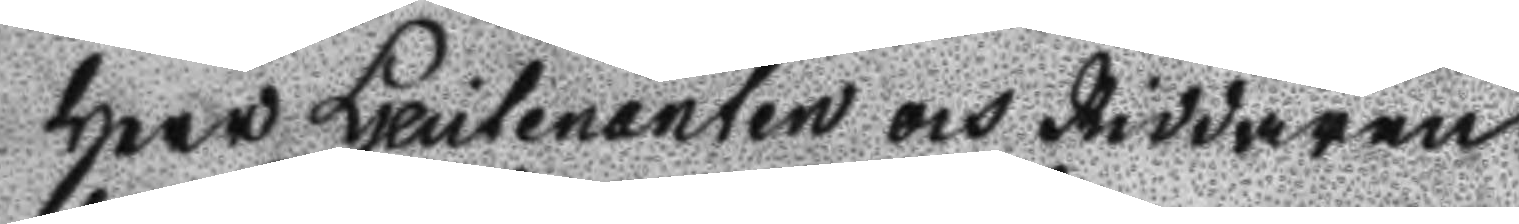Herr Ljeutenanten och Riddaren
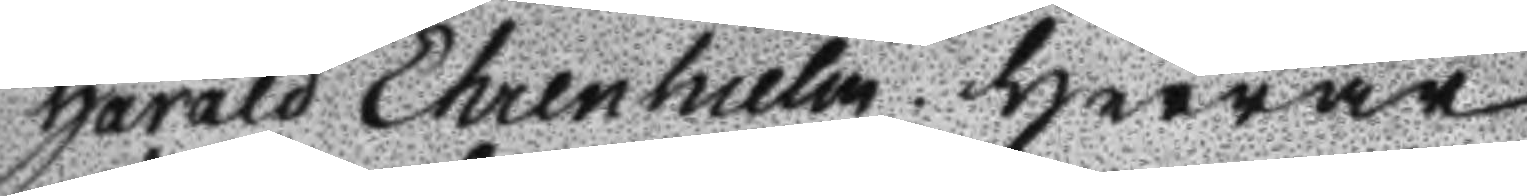Harald Ehrenhielm. Herrar
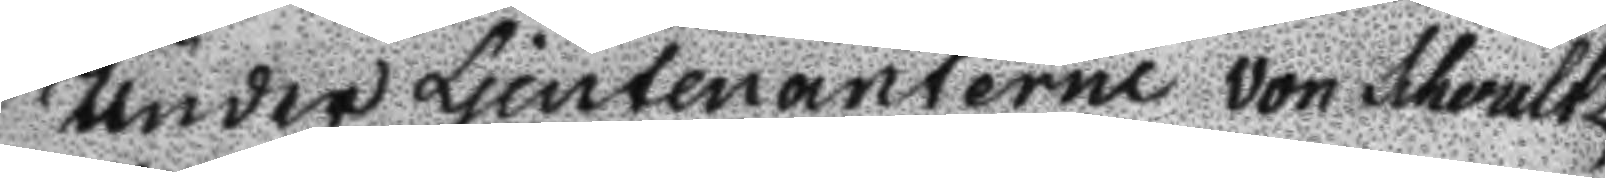Under Ljeutenanterne von Schoultz,
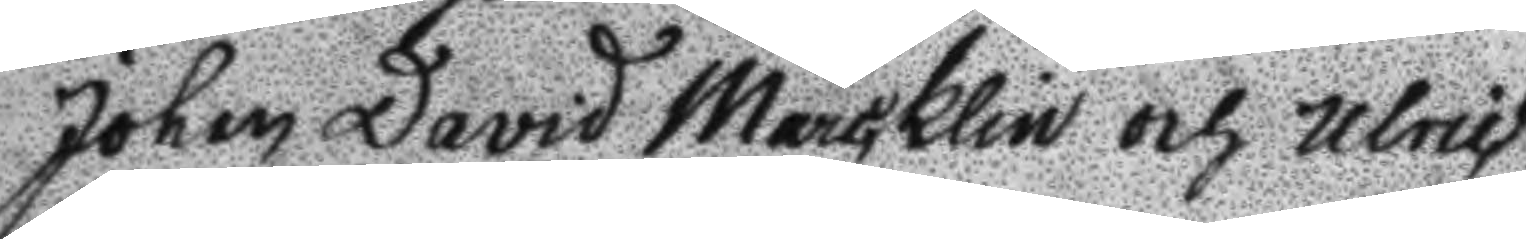Johan David Marcklin och Ulric
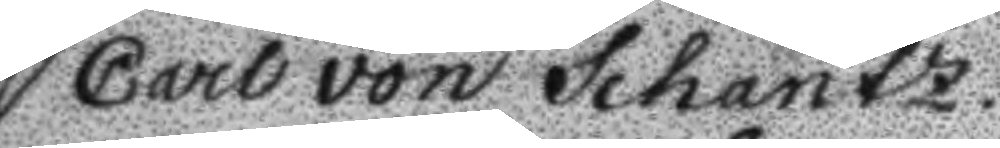Carl von Schantz.
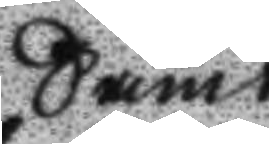Samt
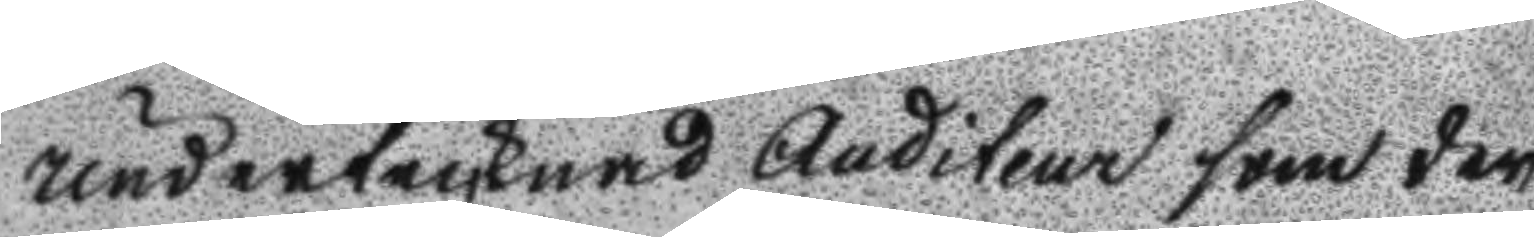undertecknad Auditeur som der¬
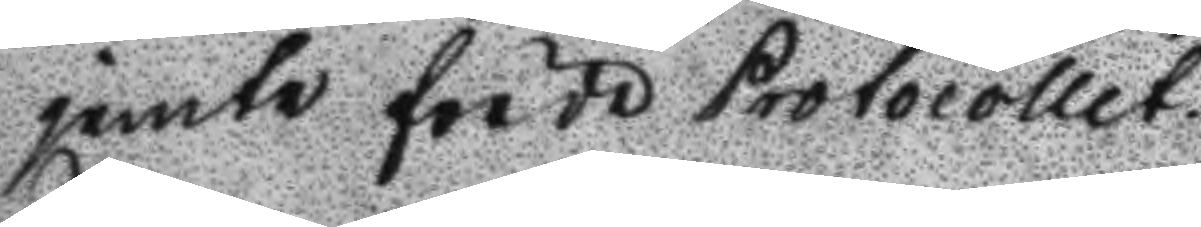jemte förde Protocollet.
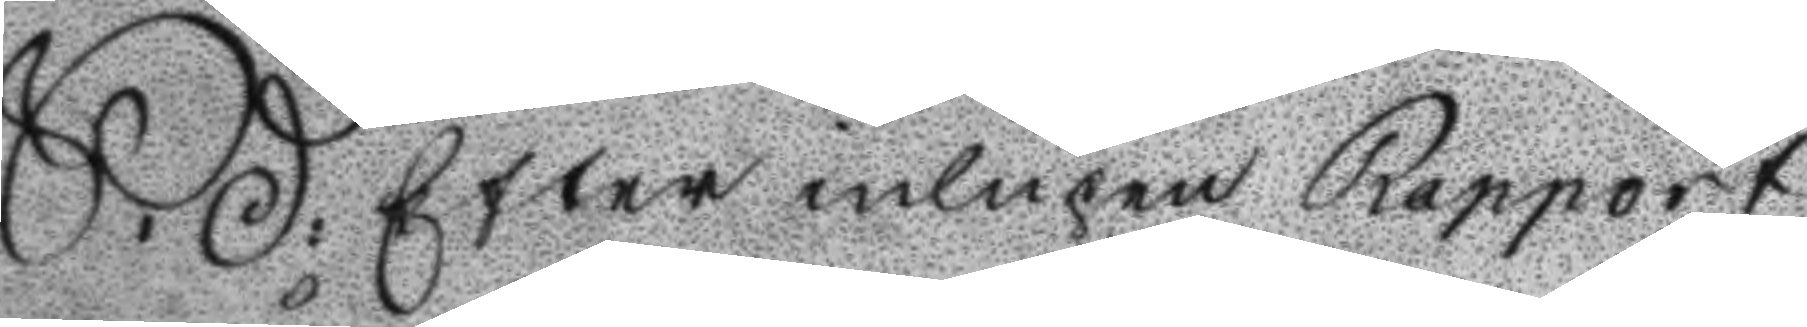S: D: Efter inlupen rapport
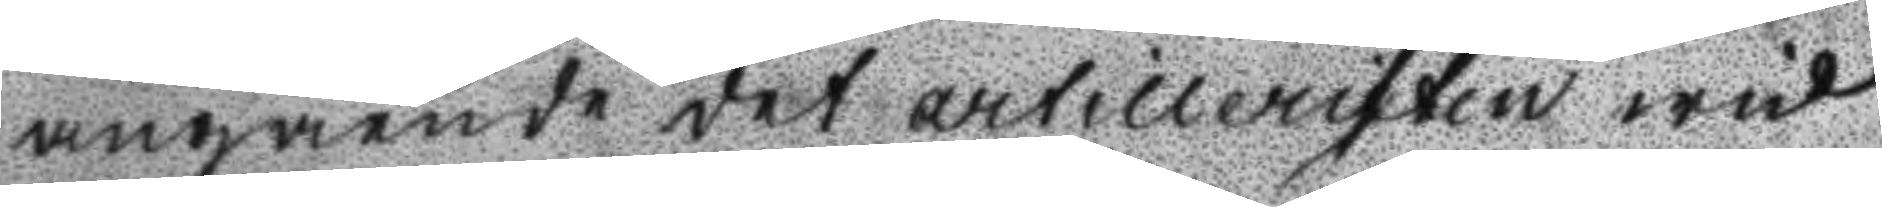angående det artilleristen wid
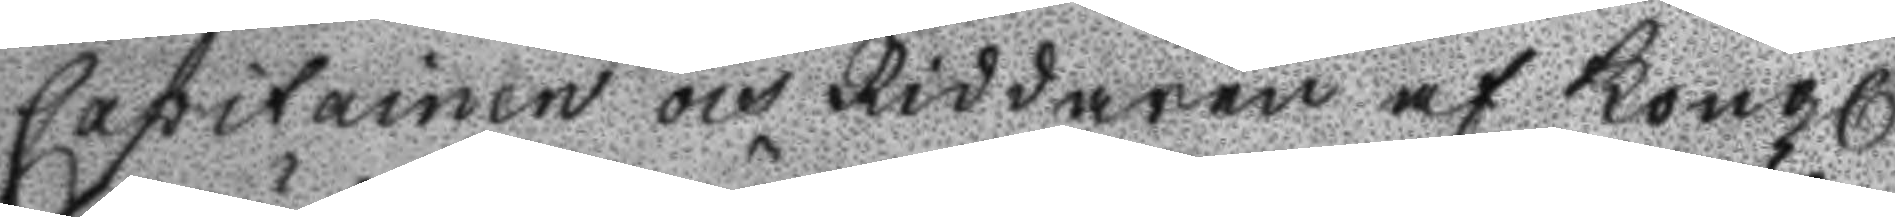Capitainen och Riddaren af Kongl
